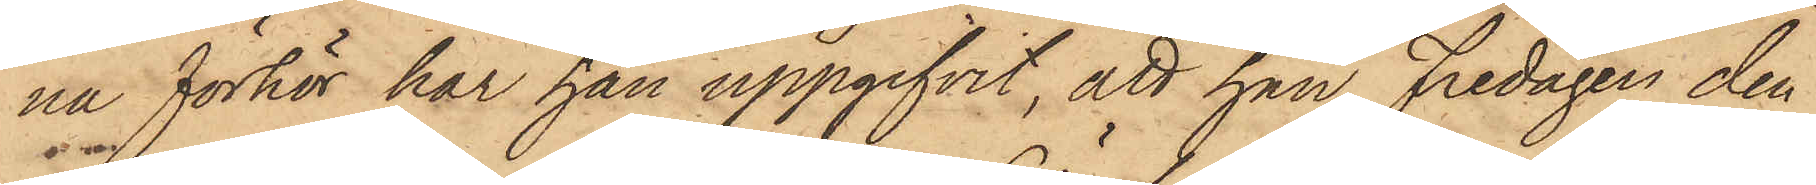na förhör har han uppgifvit, att han Fredagen den
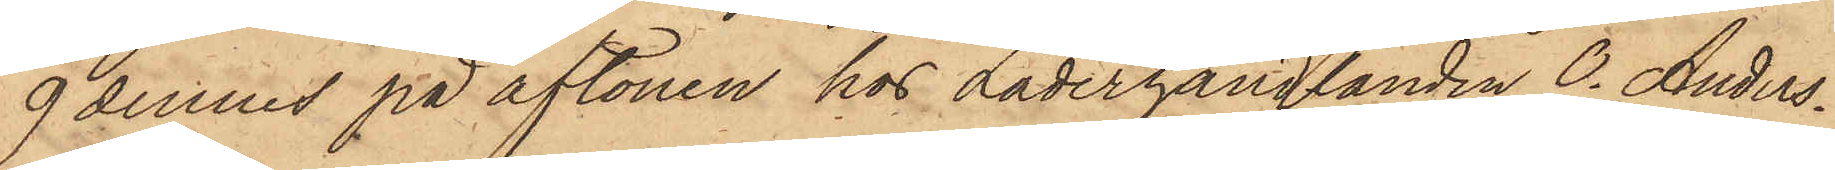9 dennes på aftonen hos Läderhandlanden O. Anders¬
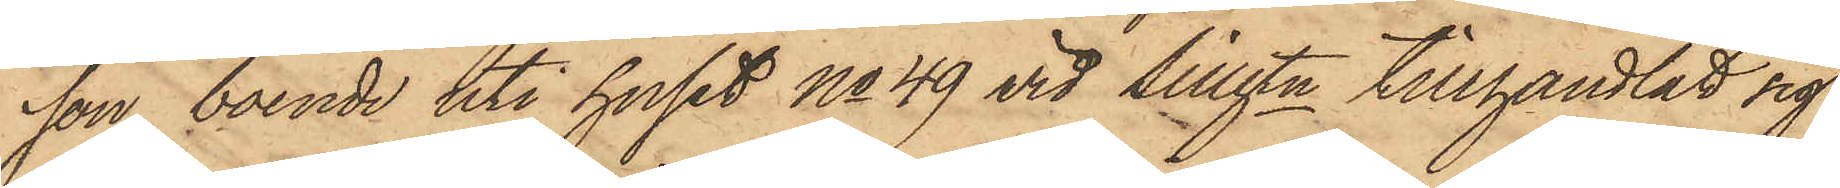son, boende uti huset No 49 vid Sillgtn tillhandlat sig
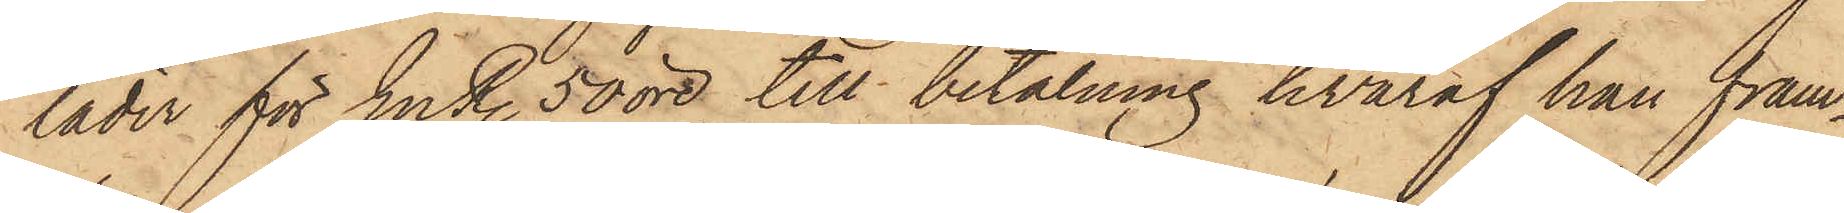läder för En R. 50 öre, till betalning hvaraf han fram¬
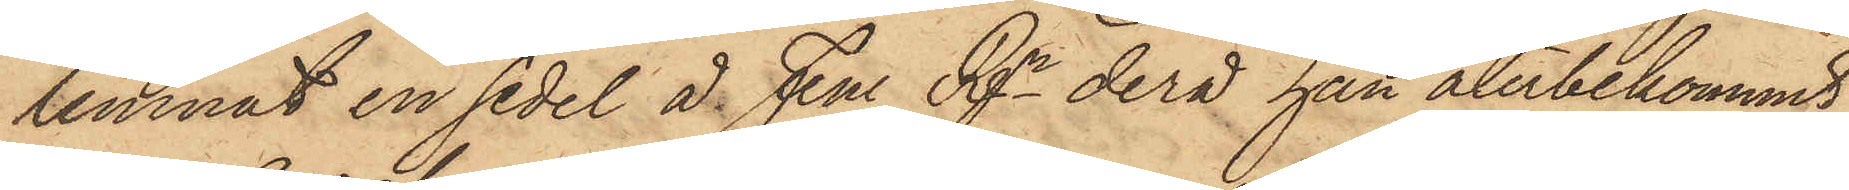lemnat en sedel å Fem Rgr derå han återbekommit
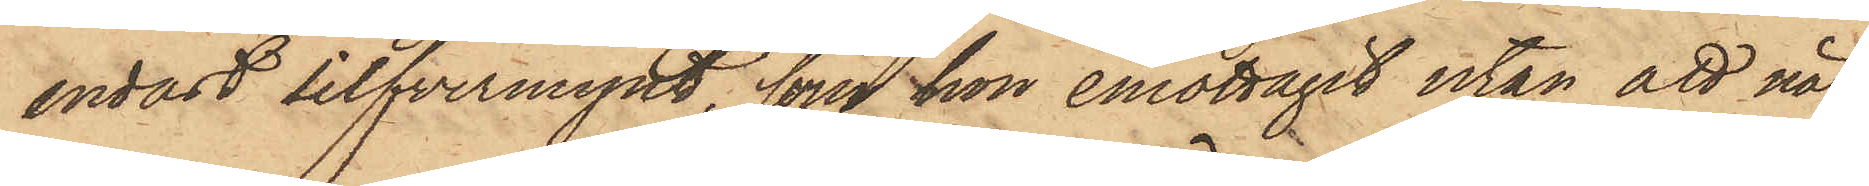endast silfvermynt, som hon emottagit utan att när¬
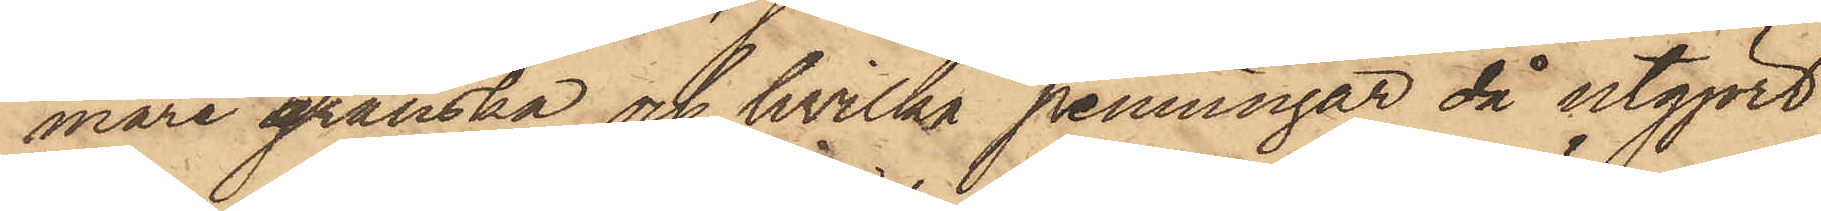mare granska och hvilka penningar då utgjort
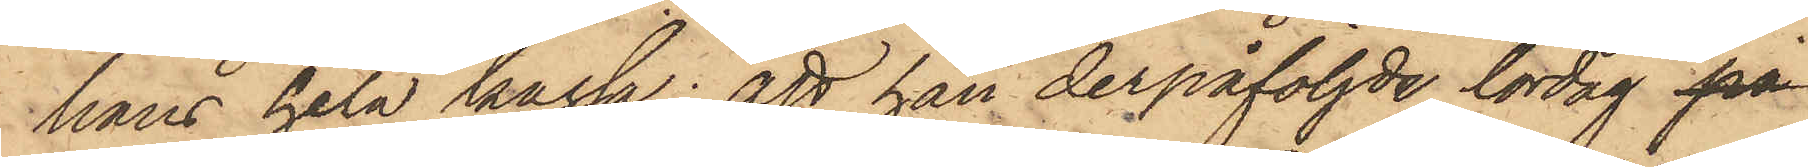hans hela kassa; att han derpåföljde lördag på
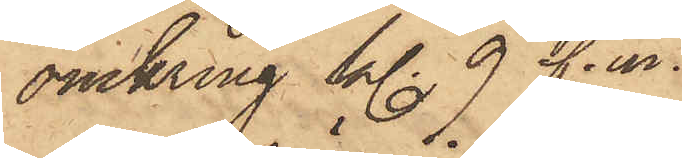omkring kl. 9 f. m.
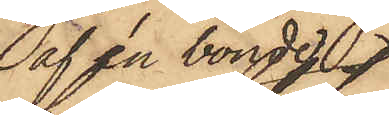(af en bonde)
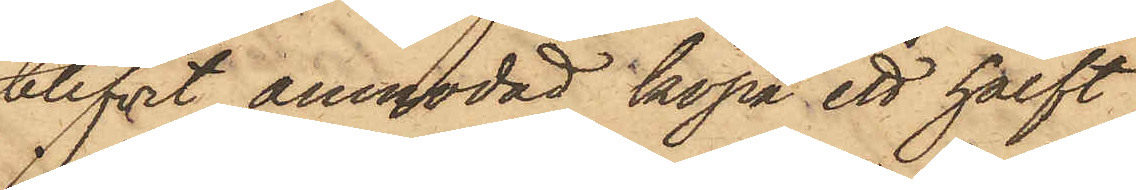blifvit anmodad köpa ett halft
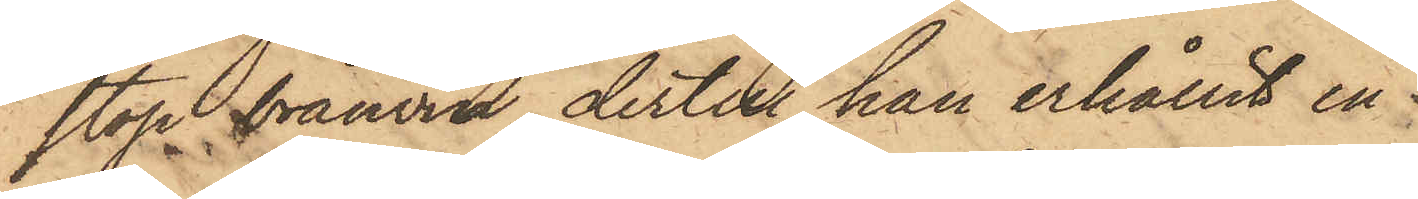stop bränvin, dertill han erhållit en
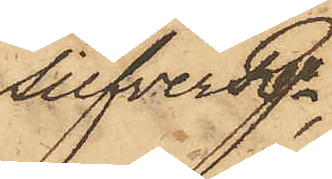SilfverRgr,
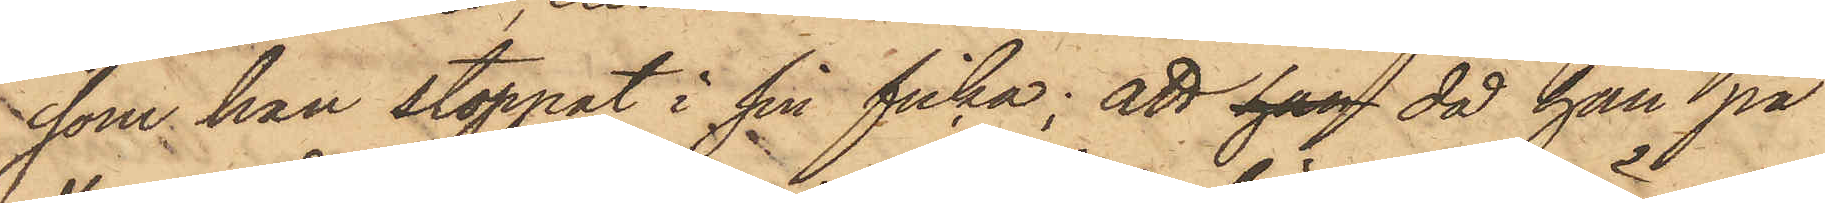som han stoppat i sin ficka; att han då han på
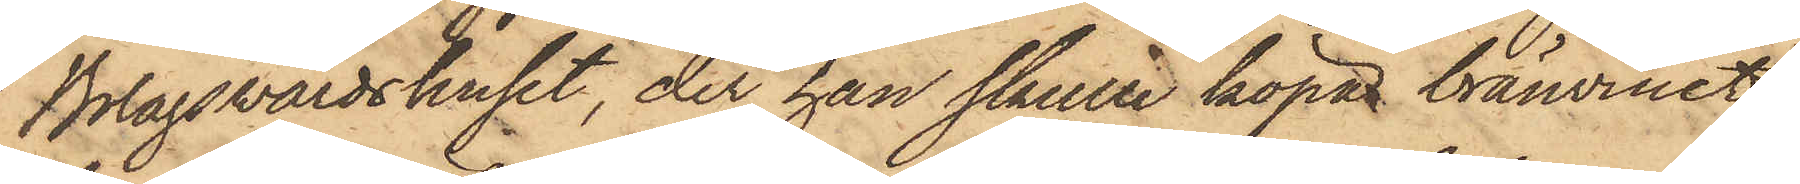Bolagsvärdshuset, der han skulle köpa bränvinet,
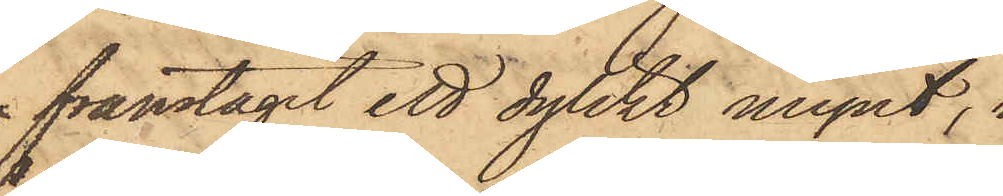framtagit ett dylikt mynt,
